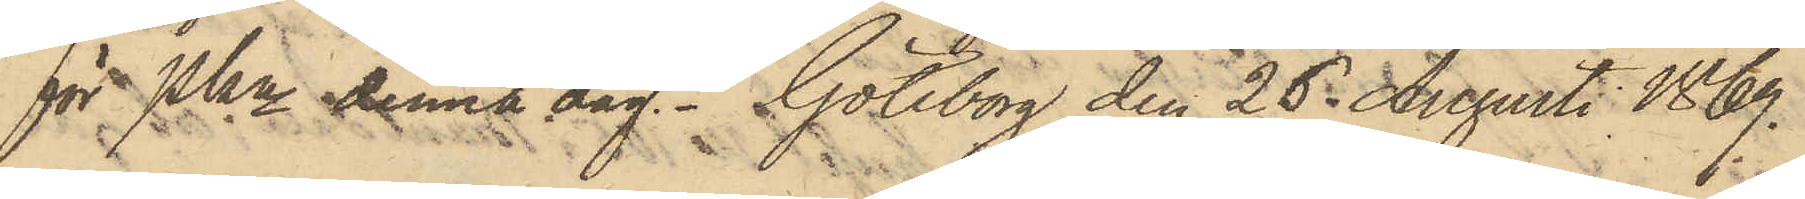för PKn denna dag. Göteborg den 26 Augusti 1869.
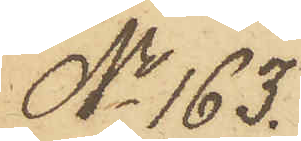No 163.
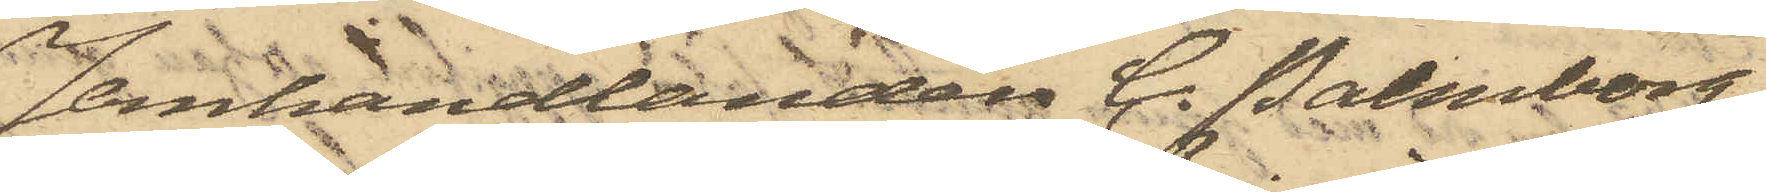Jernhandlanden C. Palmborg
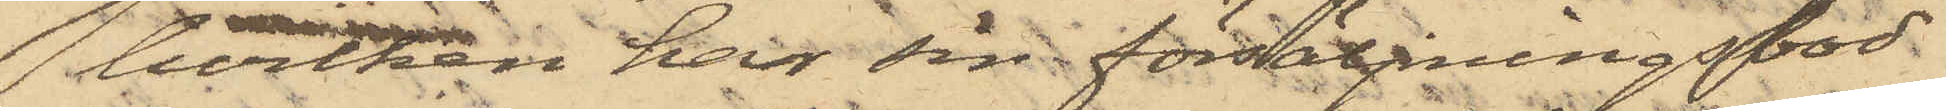 hvilken har sin försäljningsbod
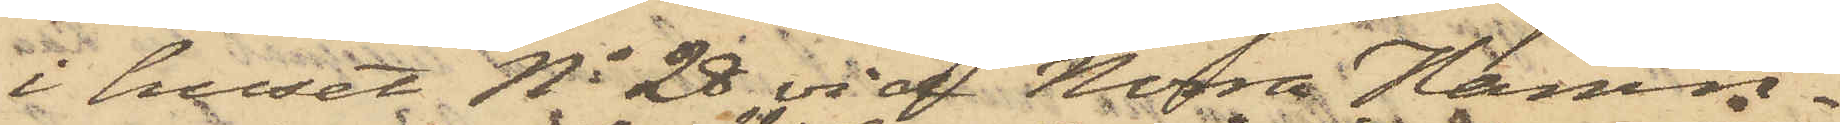i huset No 28 vid Norra Hamn¬
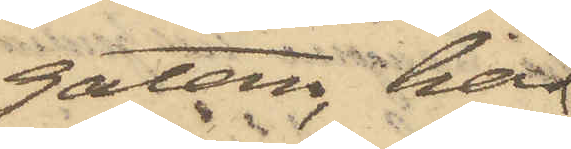gatan, har
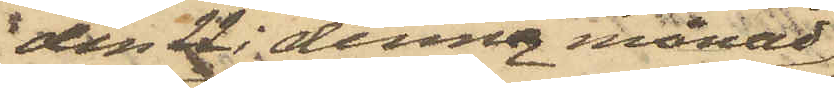den 22 i denna månad
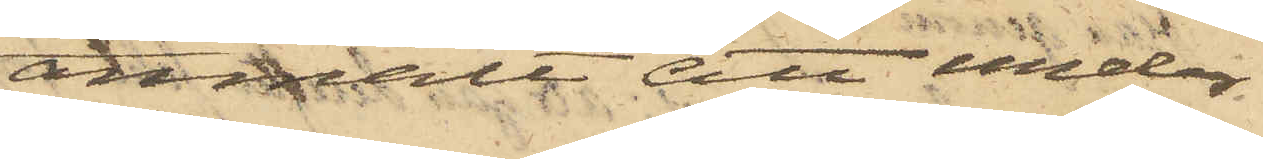anmält att under
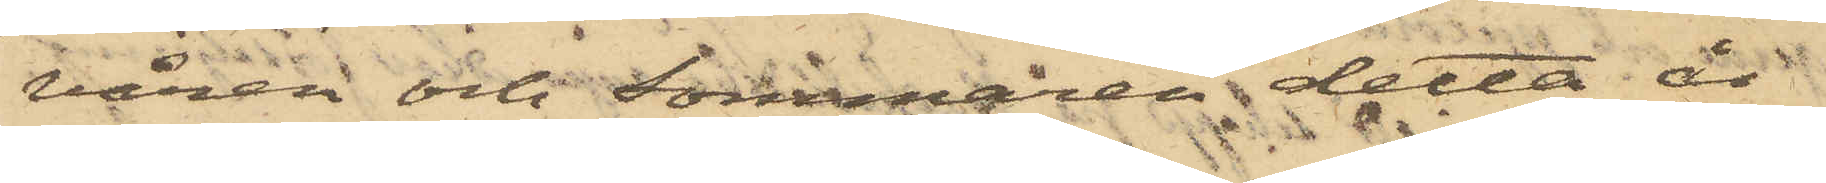våren och Sommaren detta år
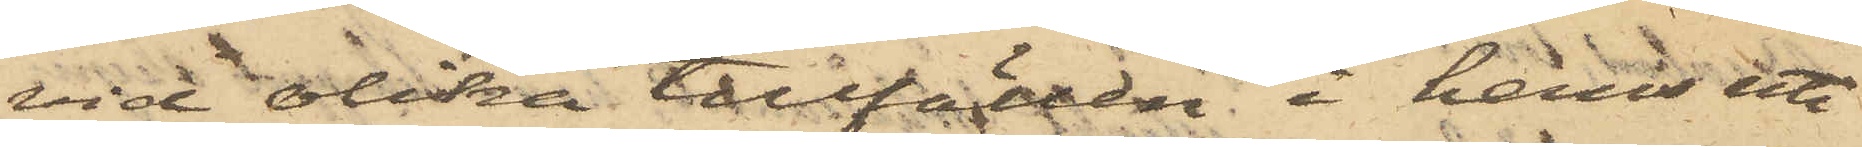vid olika tillfällen i hans uti
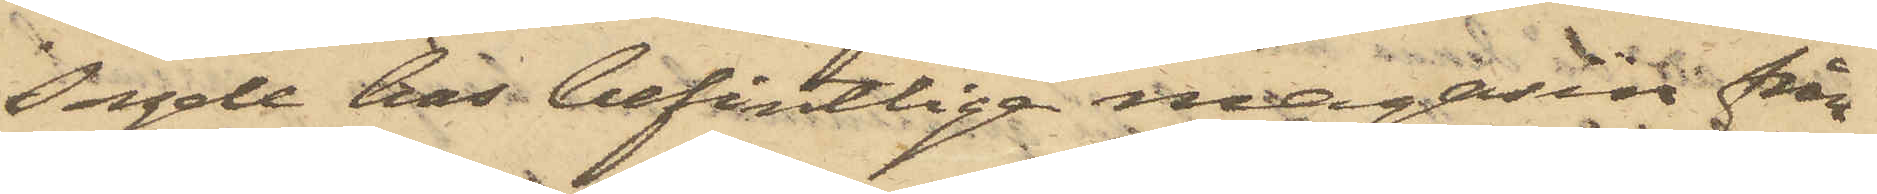sagde hus befintliga magasin från
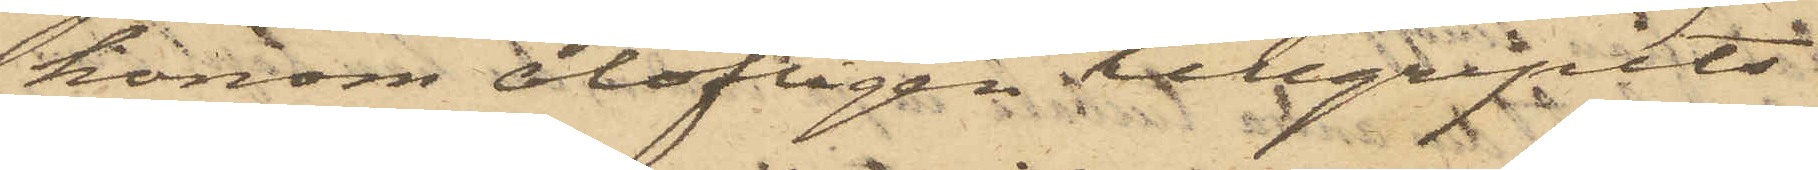honom olofligen tillgripits
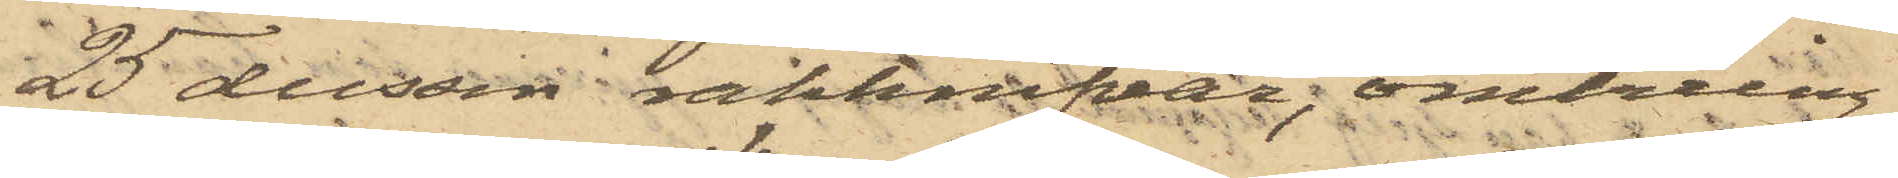25 dussin rakknifvar, omkring
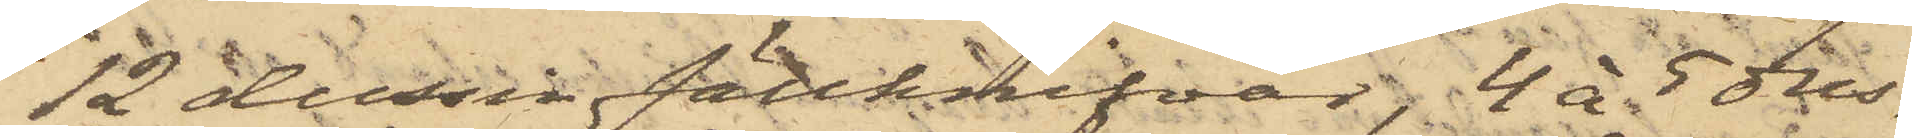12 dussin fällknifvar; 4 á 5 dus¬
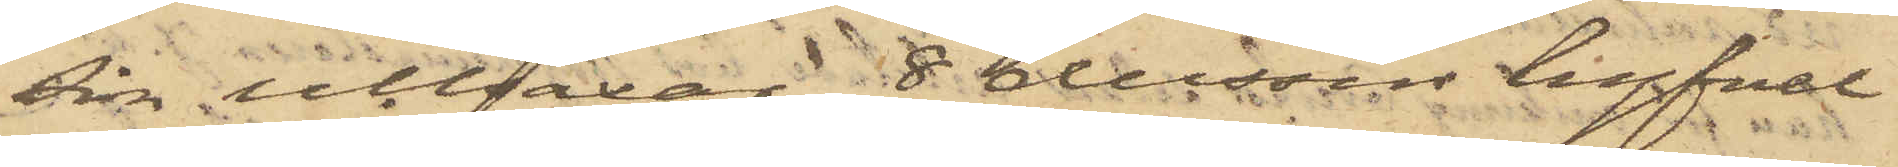sin ullsaxar, 8 dussin hyfvel¬
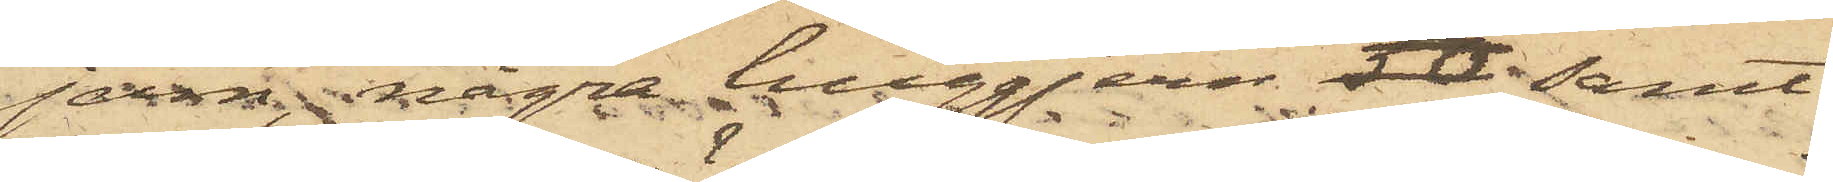jern, några huggjern 50 samt
